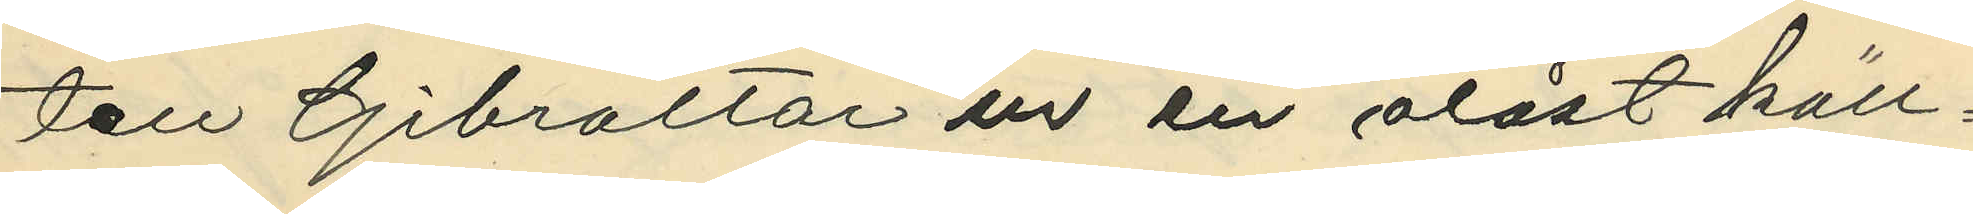ten Gibraltar ur en olåst käll¬
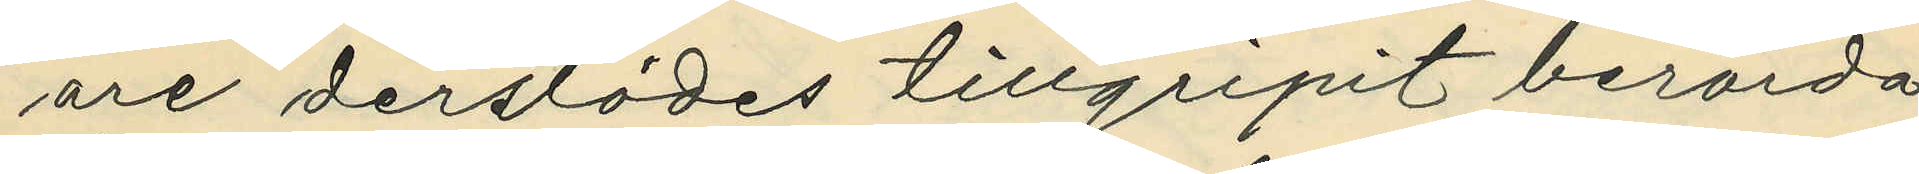are derstädes tillgripit berörda
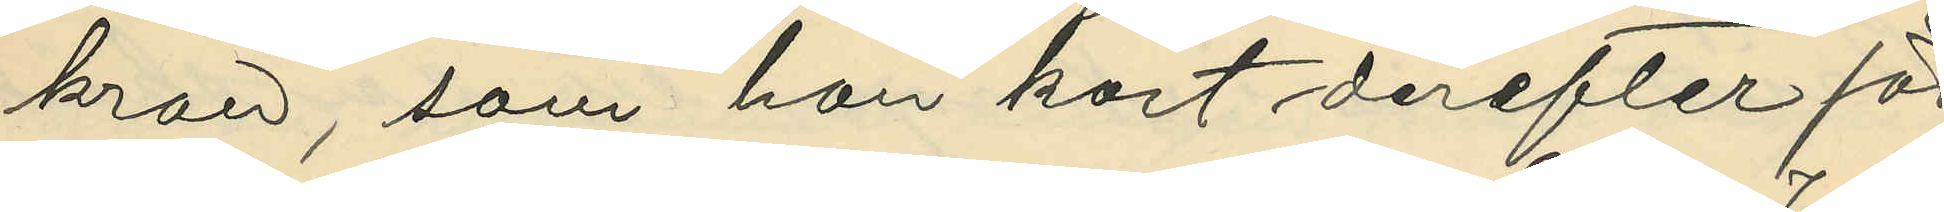kran, som han kort derefter för
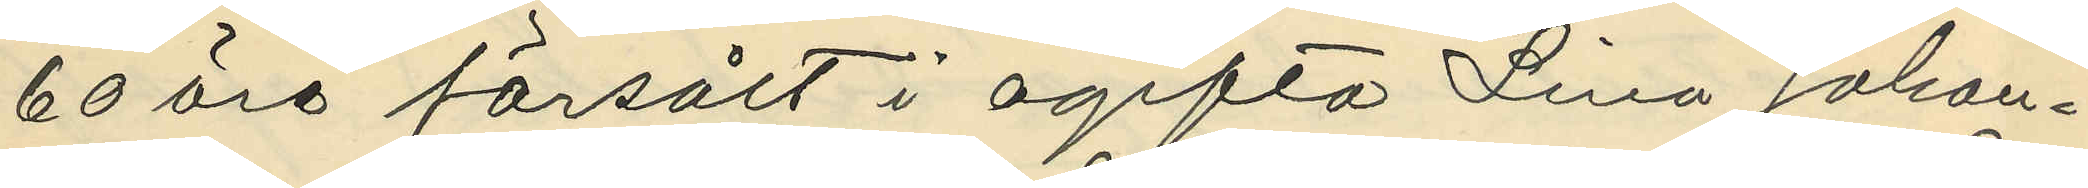60 öre försålt i ogifta Lina Johan¬
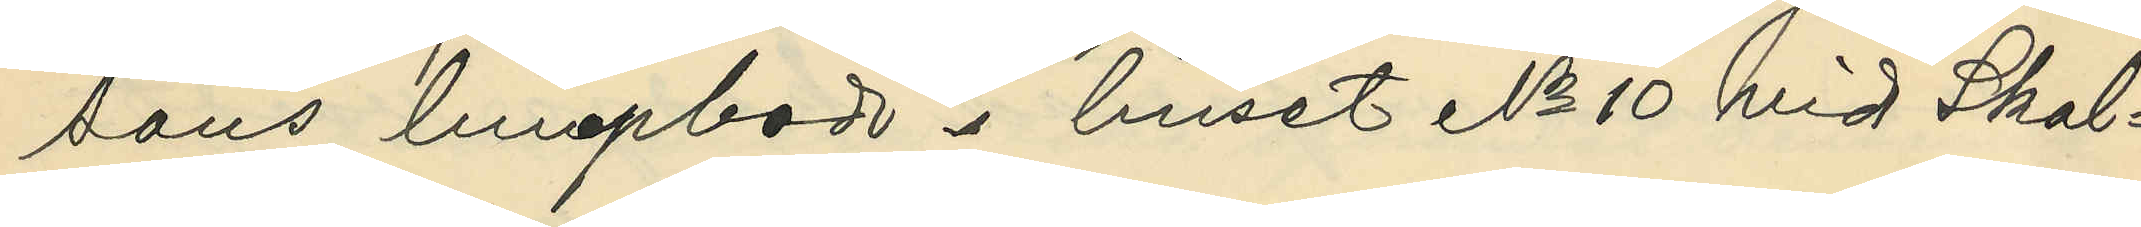sons lumpbod i huset No 10 vid Skol¬
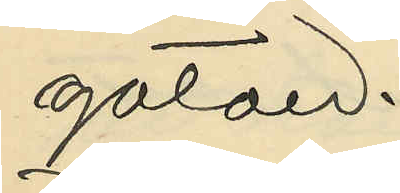gatan.
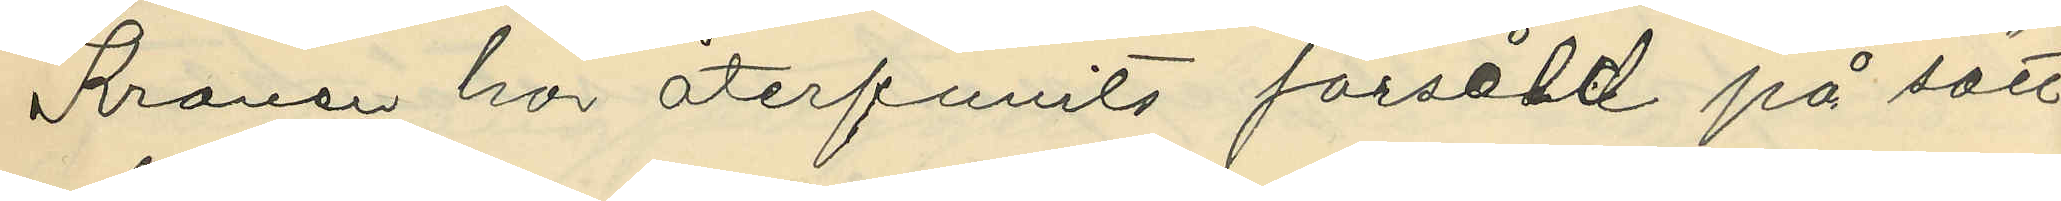Kranen har återfunits försåld på sätt
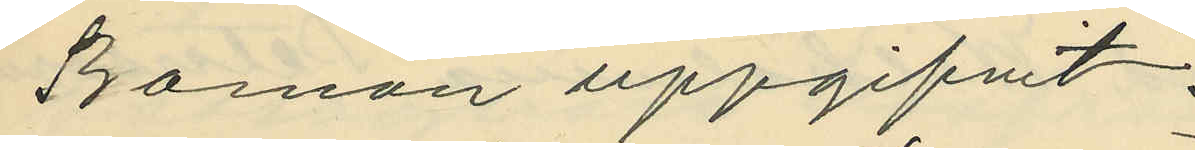Boman uppgifvit.
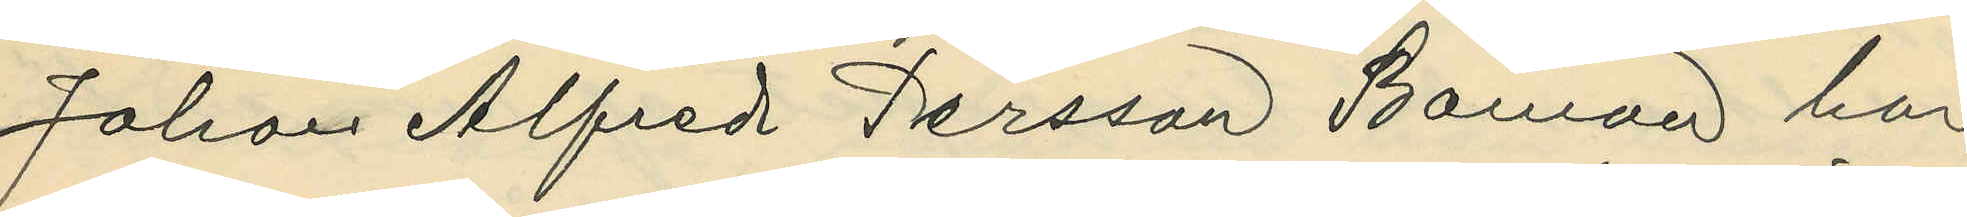Johan Alfred Persson Boman har
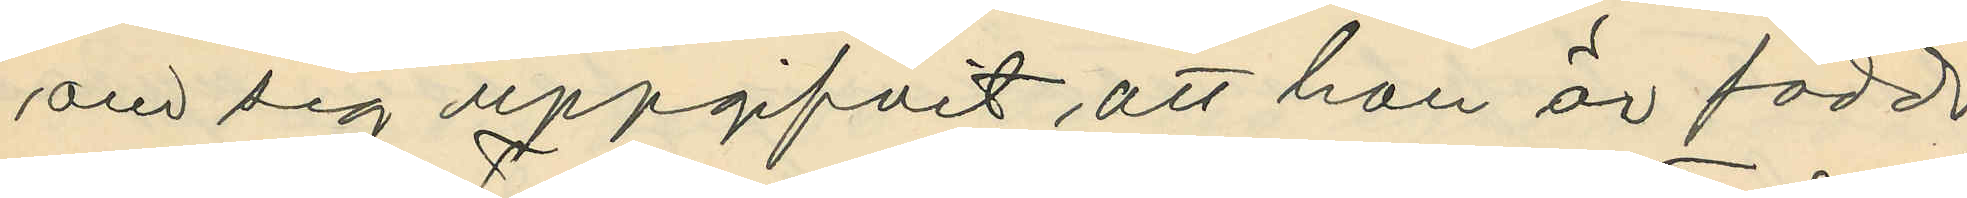om sig uppgifvit att han är född
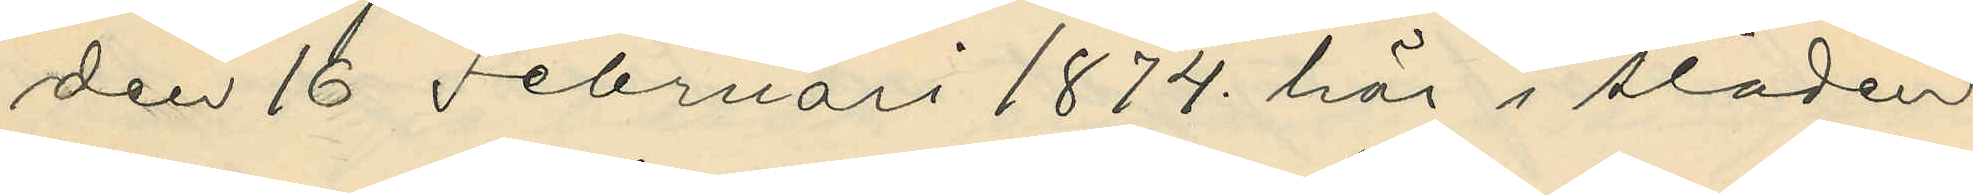den 16 Februari 1874. här i staden
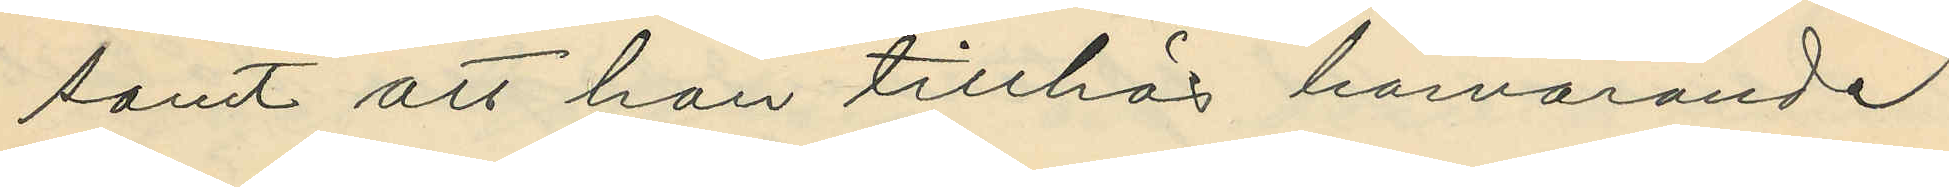samt att han tillhör härvarande
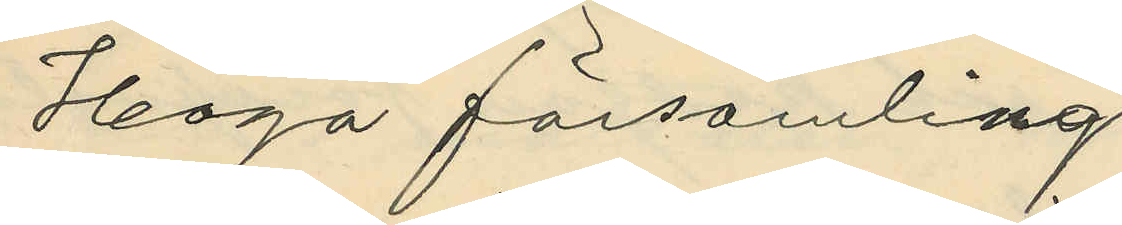Haga församling
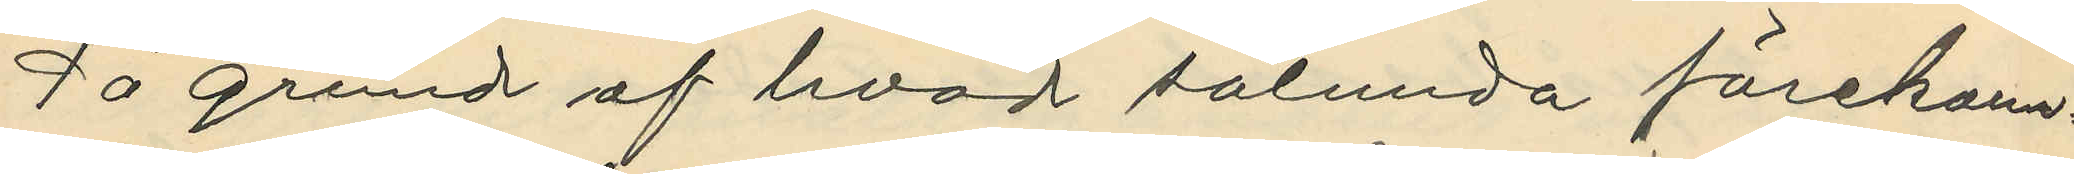På grund af hvad sålunda förekom¬
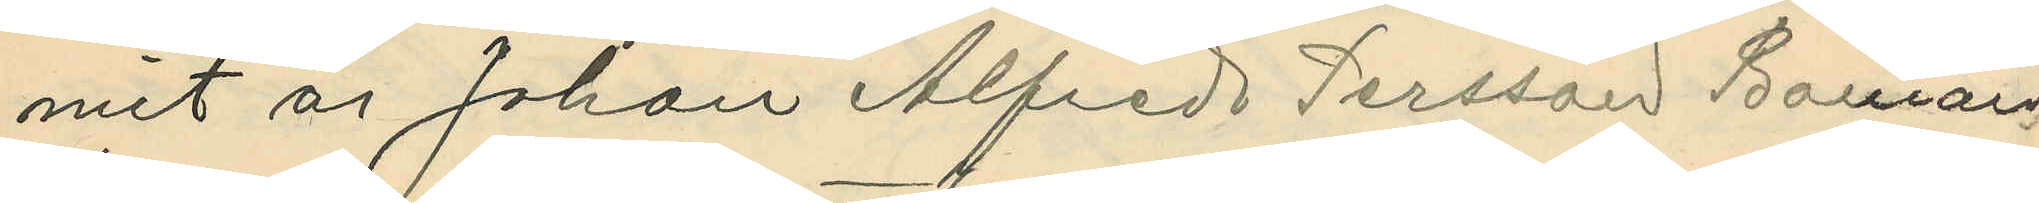mit är Johan Alfred Persson Boman
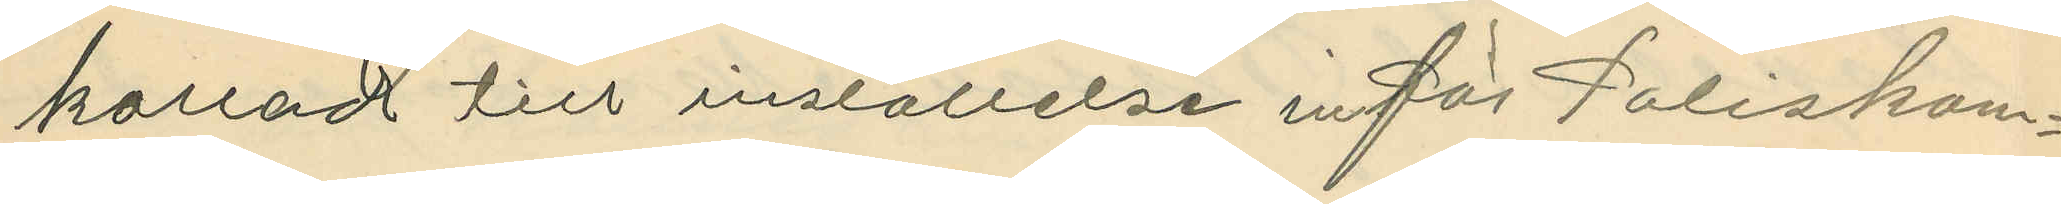kallad till inställelse inför Poliskam¬
